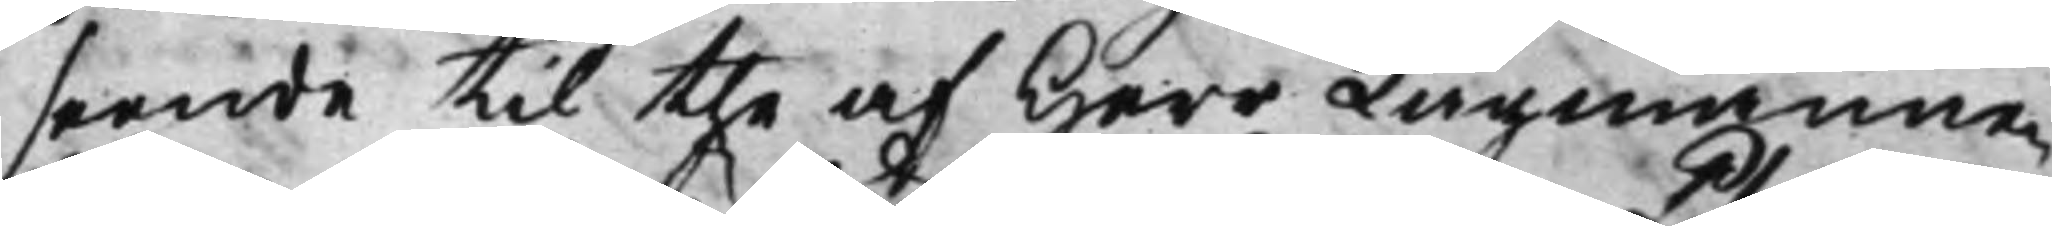seende til the af Herr Lagmannen
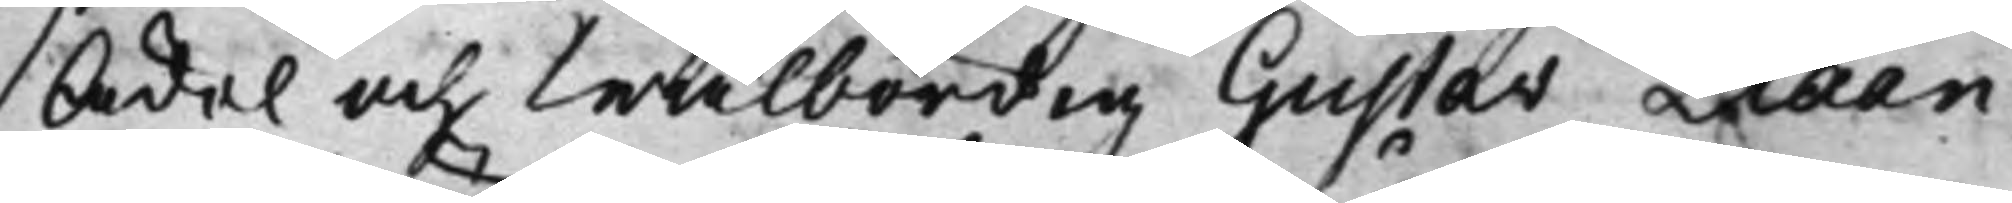Ädel och Wälbördig Gustav Plaan
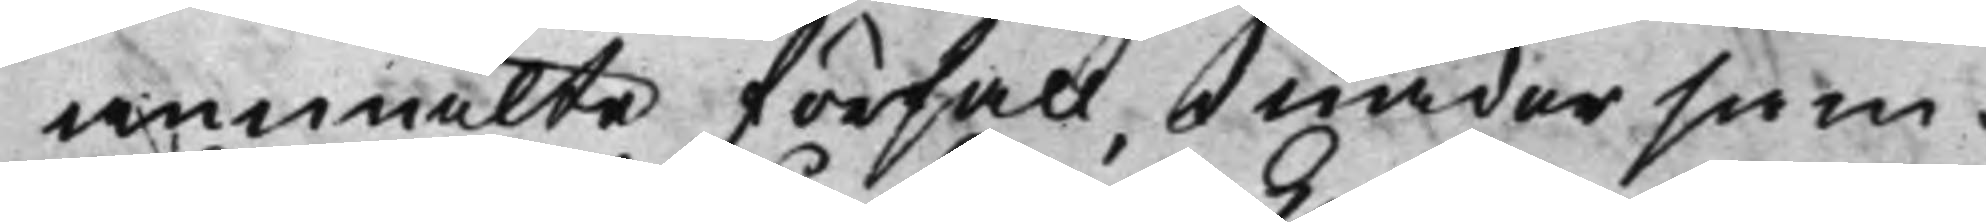anmälte förfall, i nåder sam¬
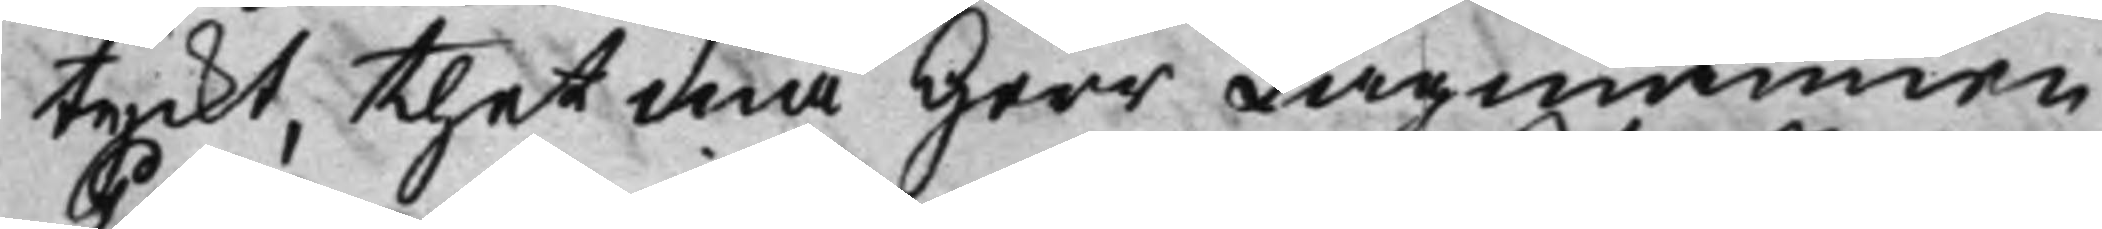tyckt, thet må Herr Lagmannen
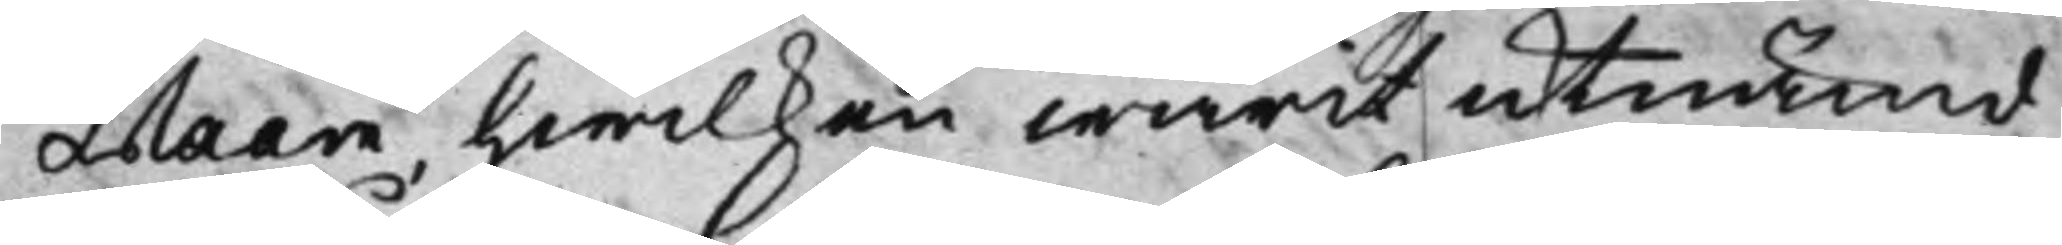Plaan, hwilken warit utnämd
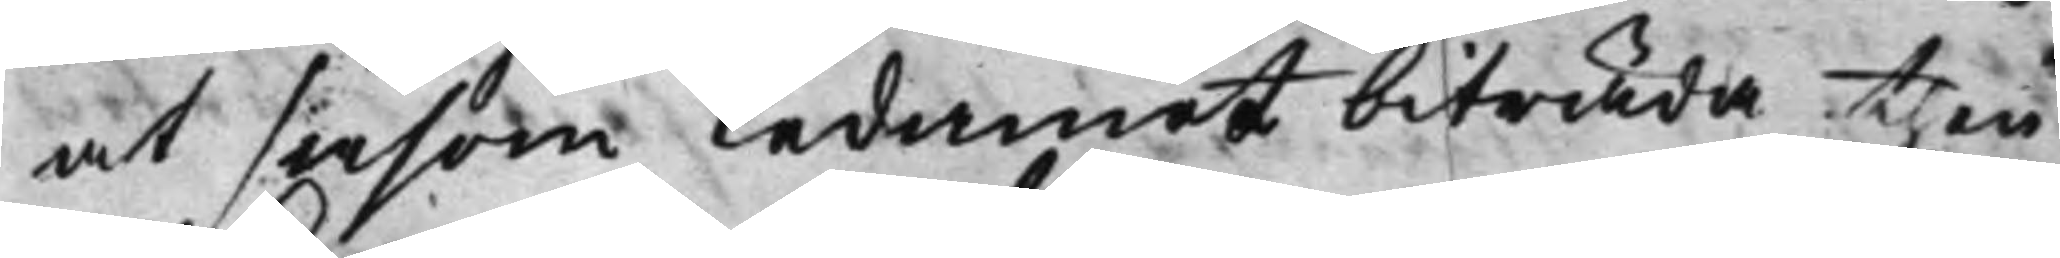at såsom ledamot biträda then
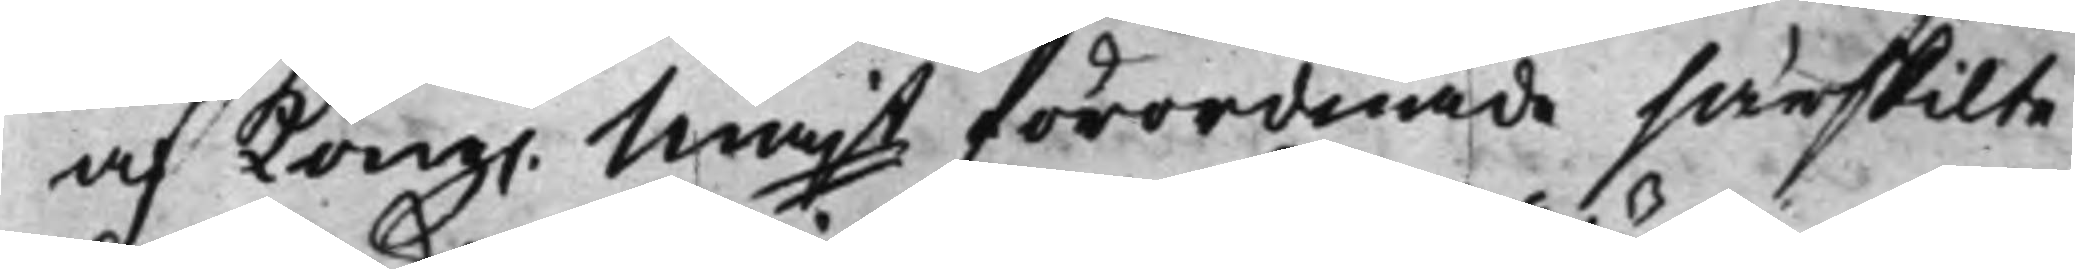af Kong. Majt förordnade särskilte
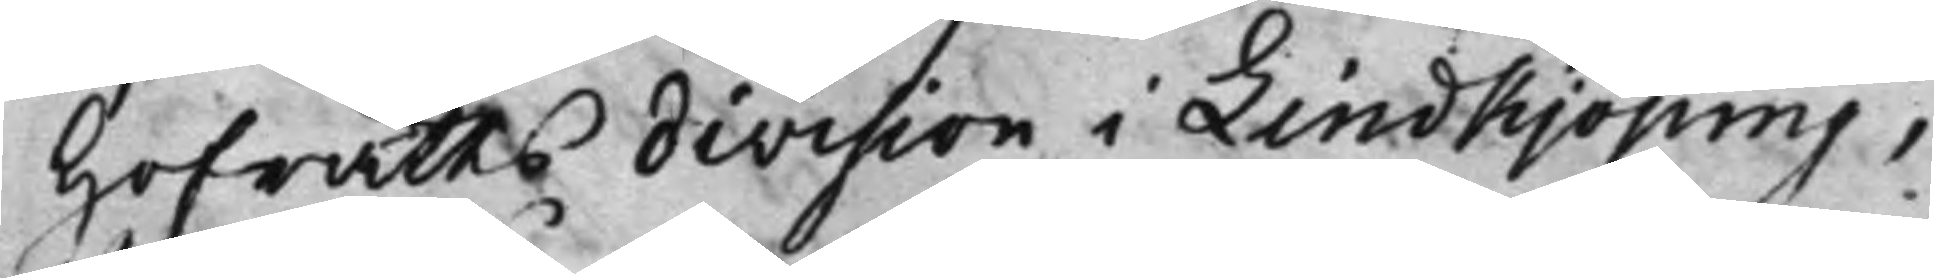Hofrätts division i Lindkjöping,
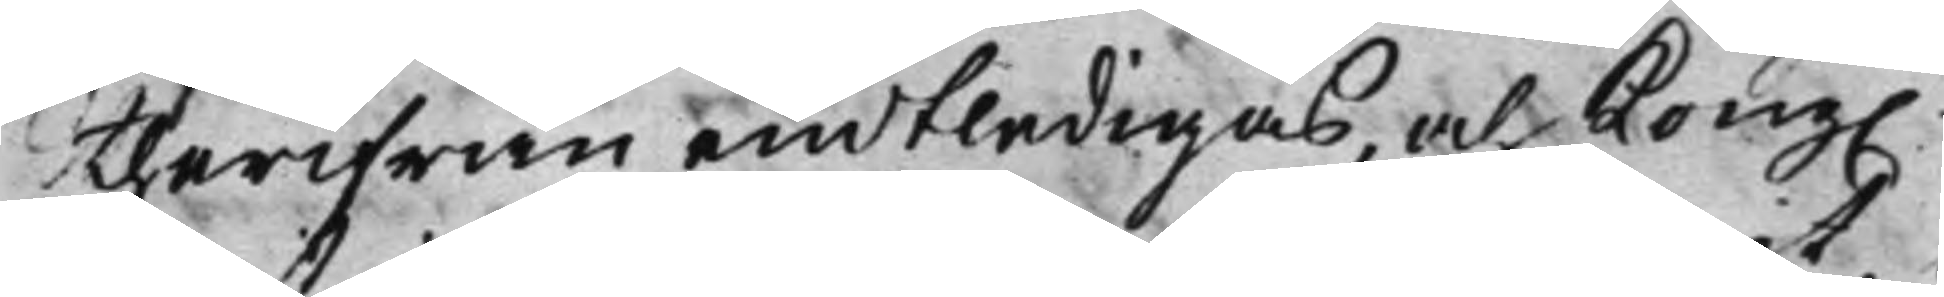therifrån entledigas, och Kong.
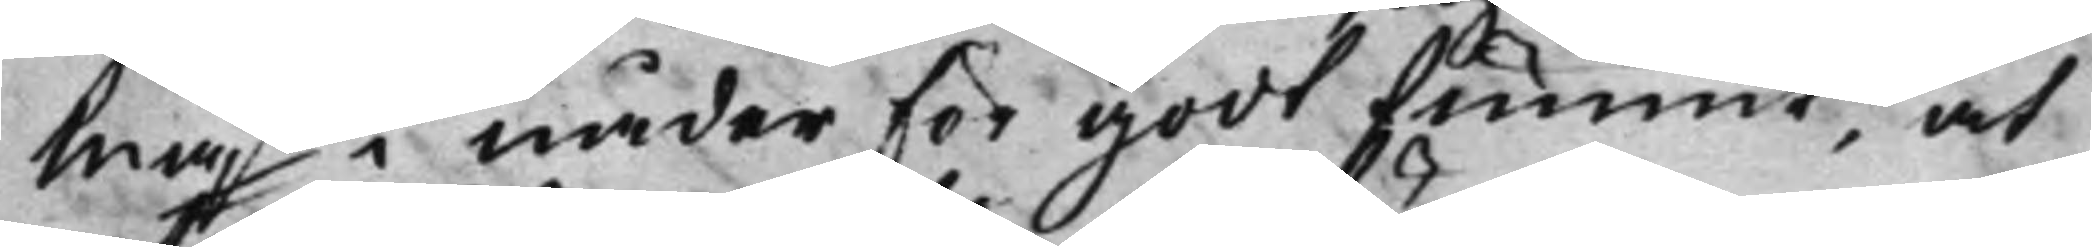Majt i nåder för godt funnit, at
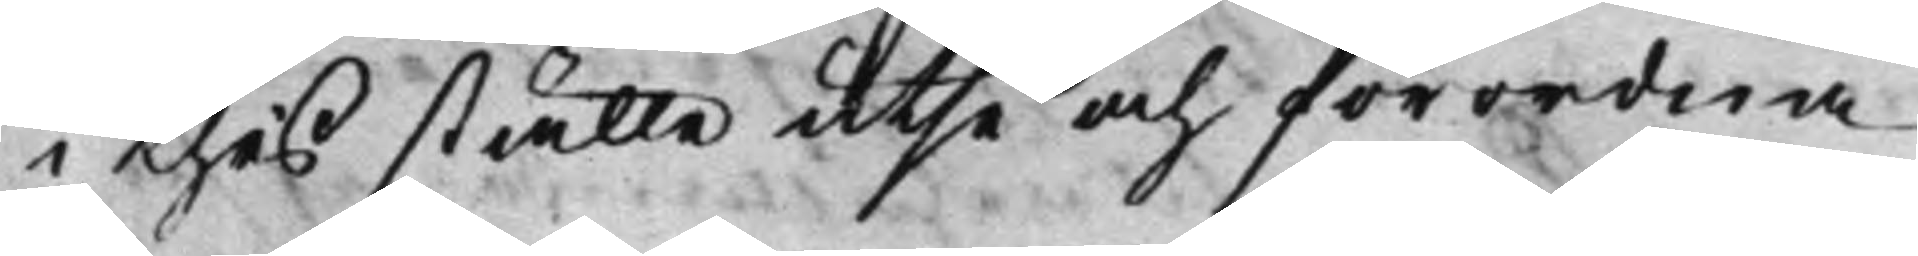i thes ställe utse och förordna
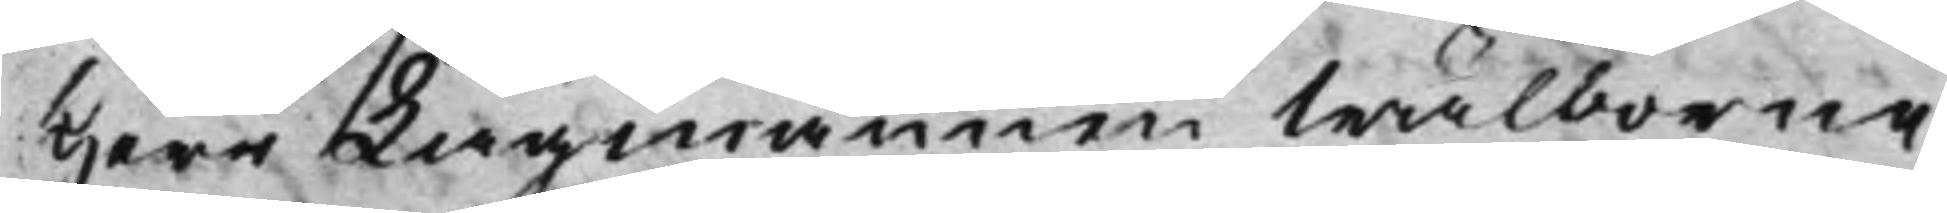Herr Lagmannen Wälborne
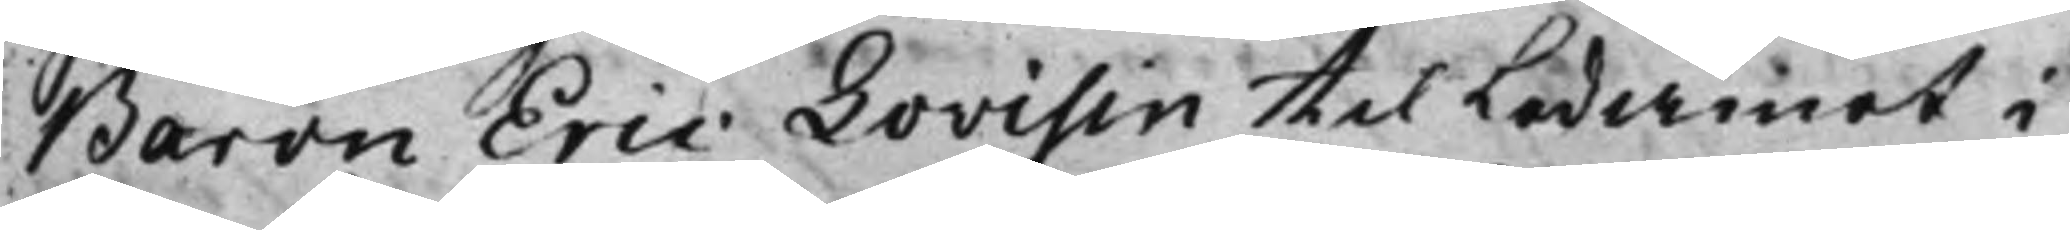Baron Eric Lovisin til Ledamot i
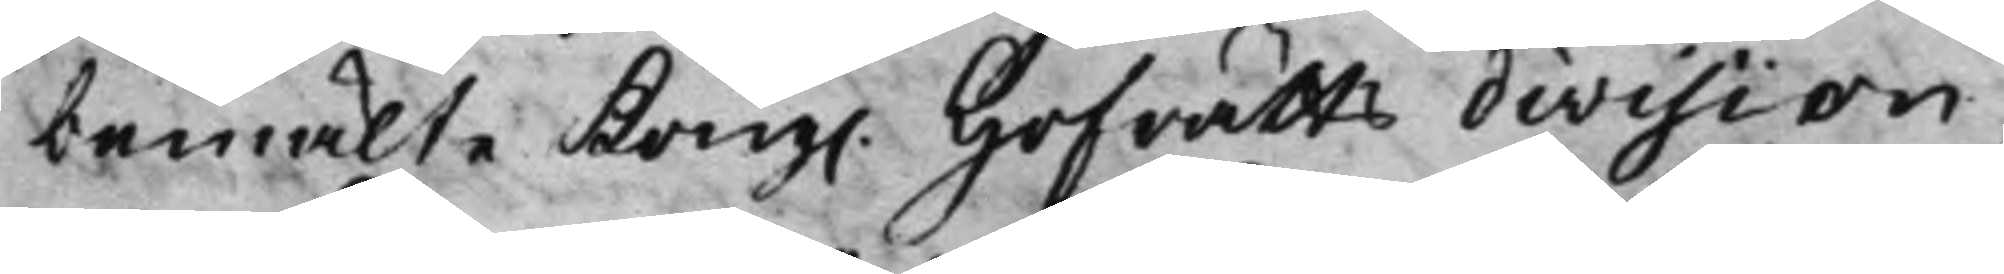bemälte Kong. Hofrätts division,
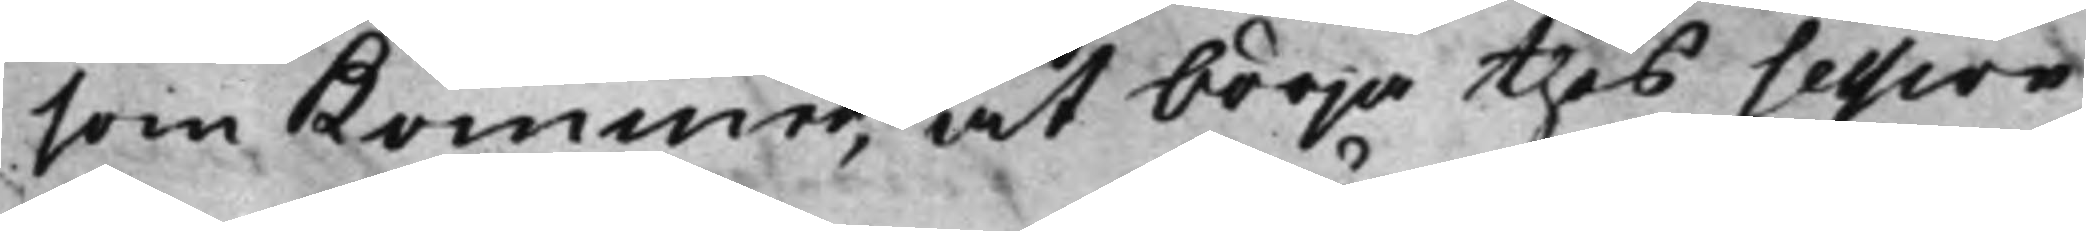som kommer, at börja thes Session
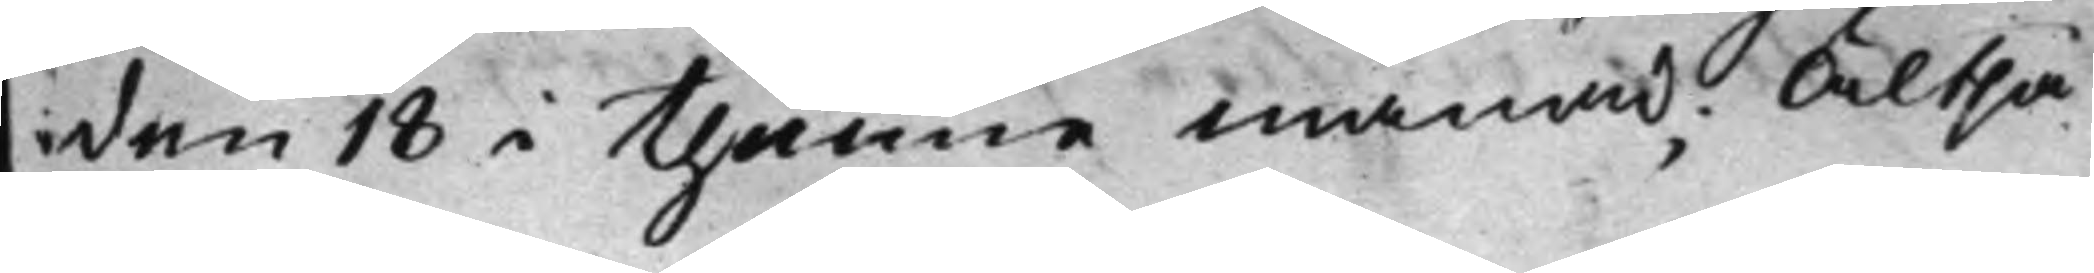den 18 i thenne månad; Altså
